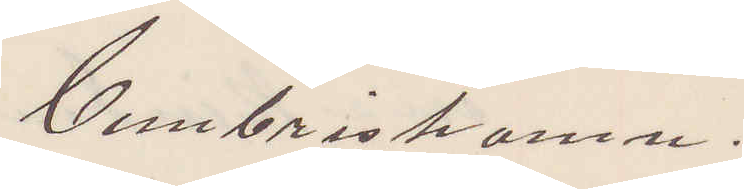Cimbrishamn.
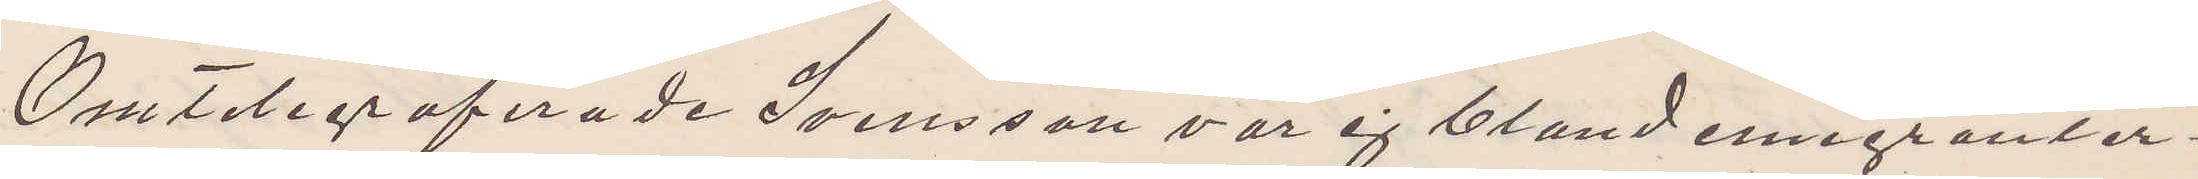Omtelegraferade Svensson var ej bland emigranter¬
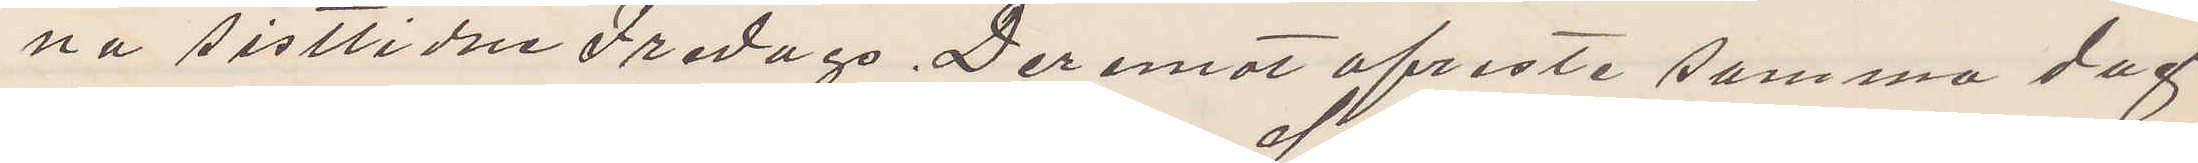na sistlidne Fredags. Deremot afreste samma dag
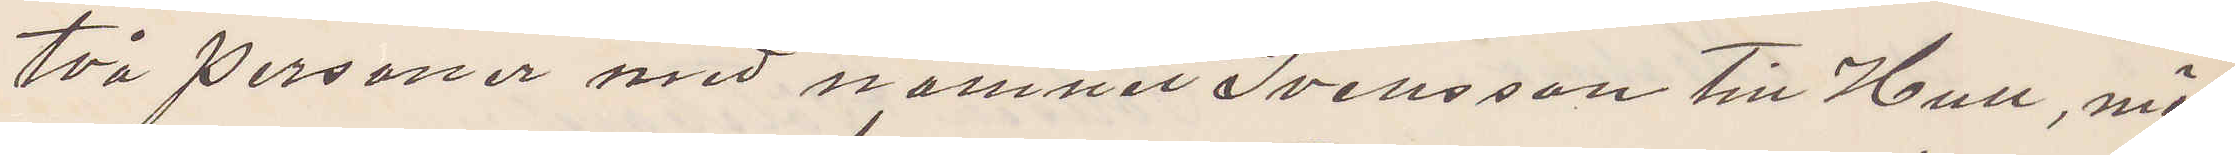två personer med namnet Svensson till Hull, möj¬
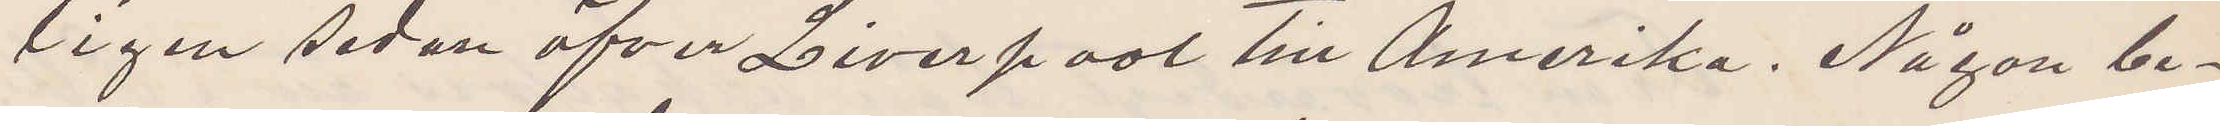ligen sedan öfver Liverpool till Amerika. Någon be¬
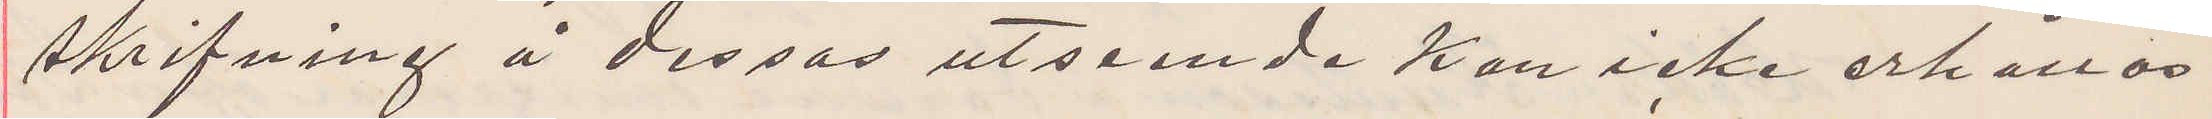skrifning å dessas utseende kan icke erhållas.
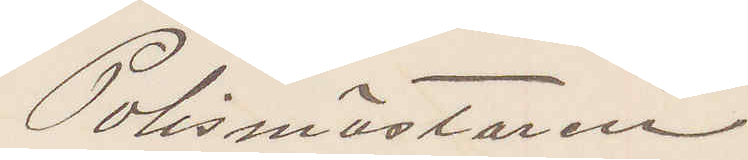Polismästaren
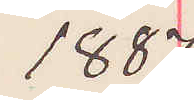1887
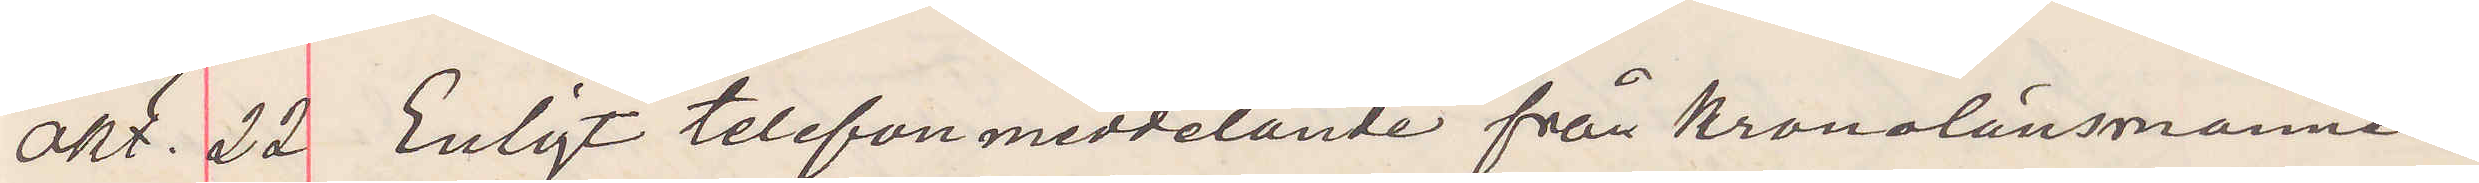Okt. 22 Enligt telefonmeddelande från Kronolänsmannen
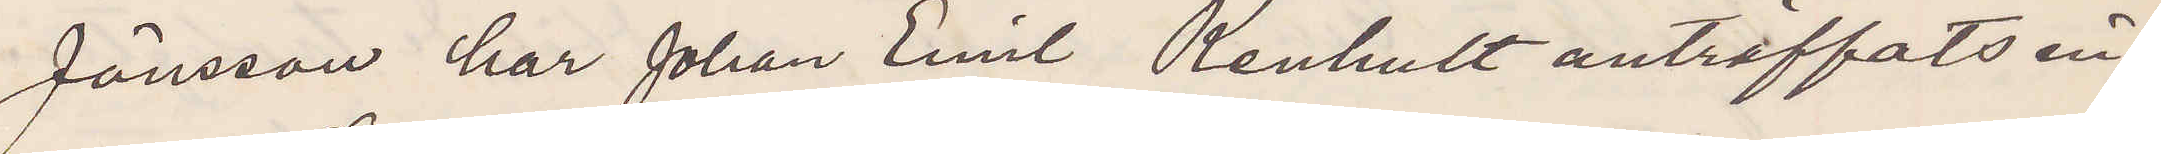Jönsson har Johan Emil Renhult anträffats in¬
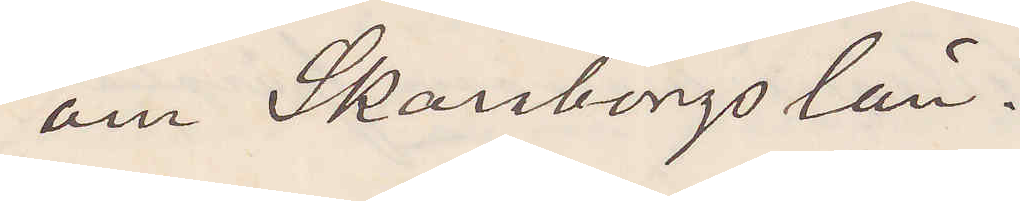om Skaraborgs län.
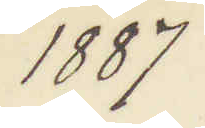1887
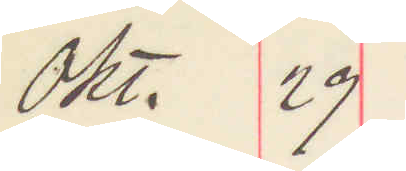Okt. 29
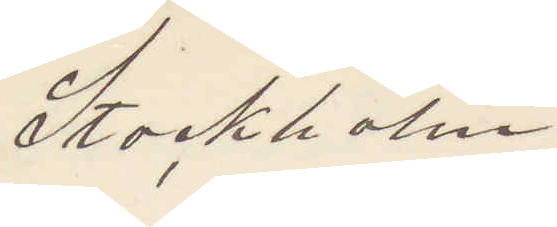Stockholm
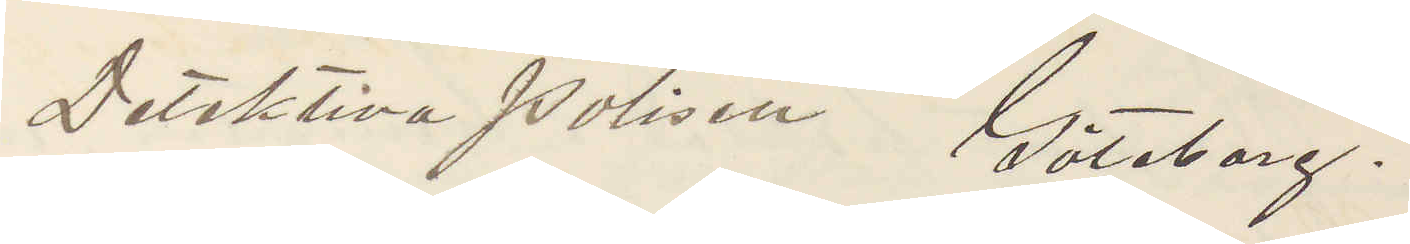Detektiva Polisen Göteborg.
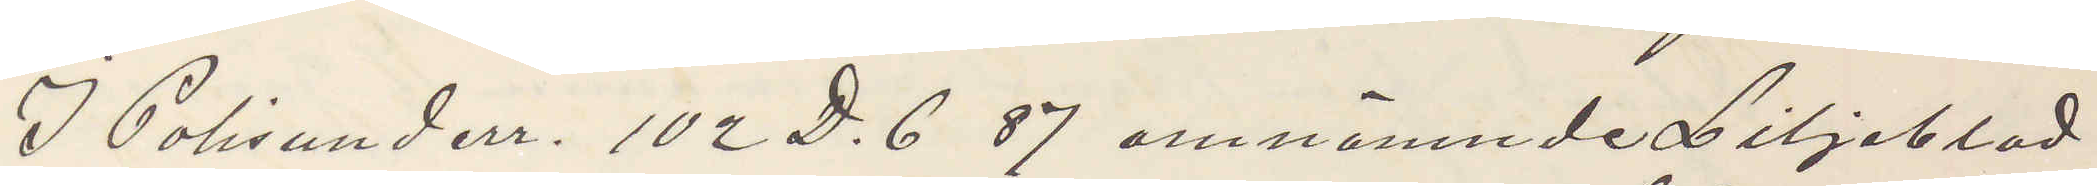I Polisunderr. 102 D. 6 87 omnämnde Liljeblad
